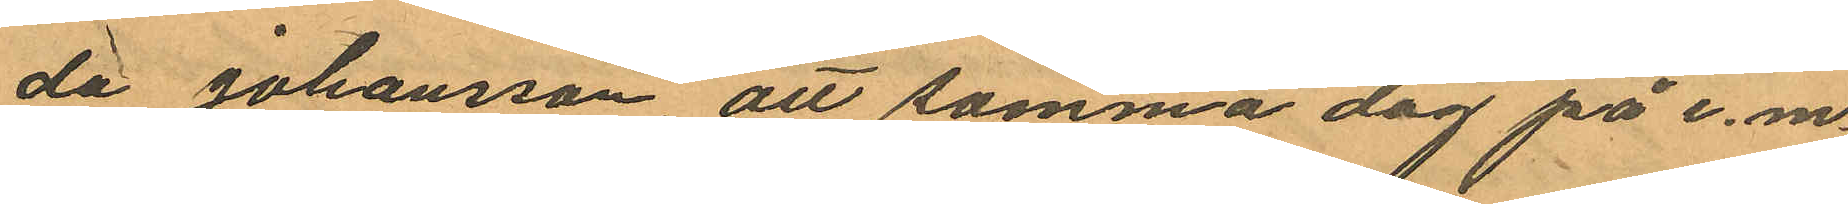da Johansson att samma dag på e.m.
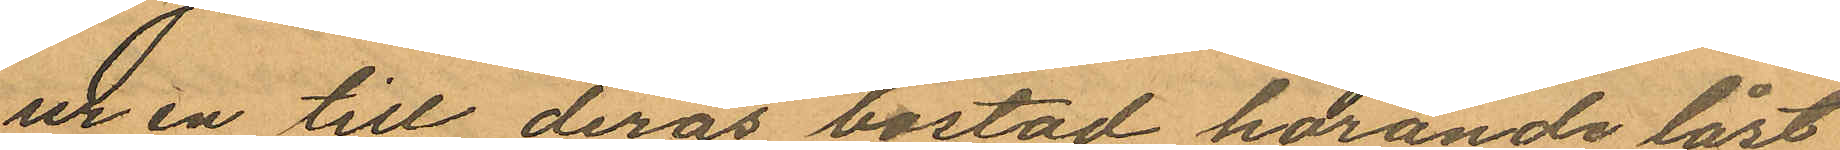ur en till deras bostad horande låst
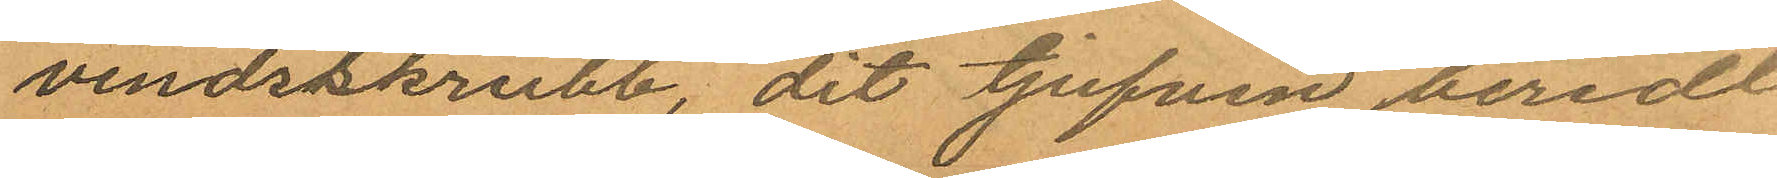vindrskrubb, dit tjufven beredt
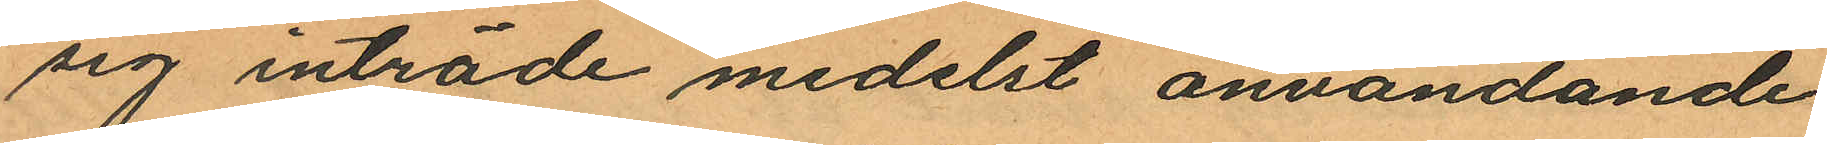sig inträde medelst användande
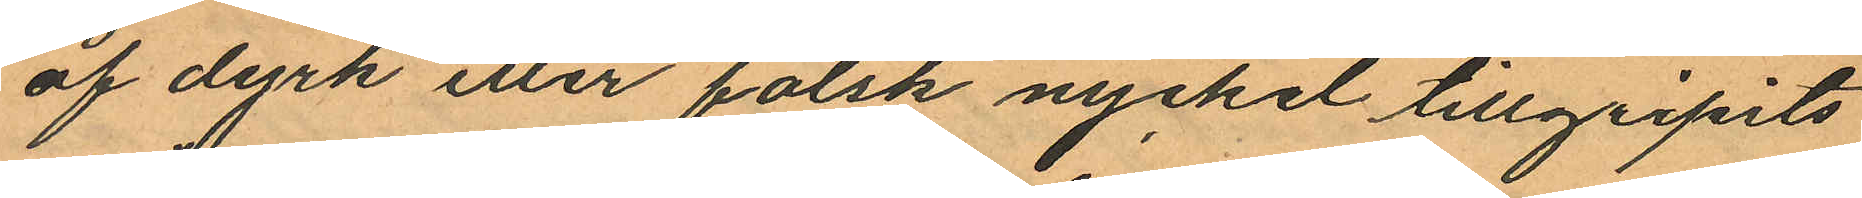af dyrk eller falsk nyckel tillgripits
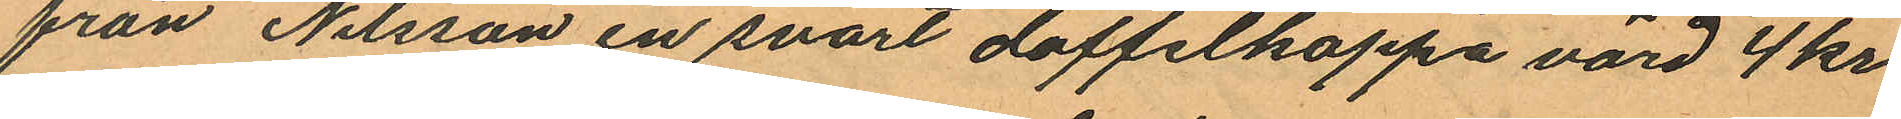från Nilsson en svart doffelkappa värd 4 kr
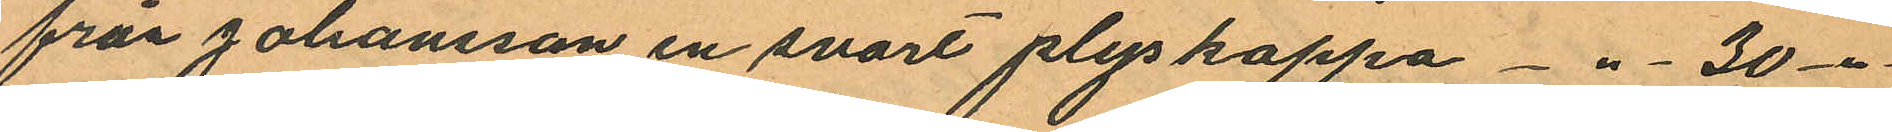från Johansson en svart plyskappa  -"- 30 -"-
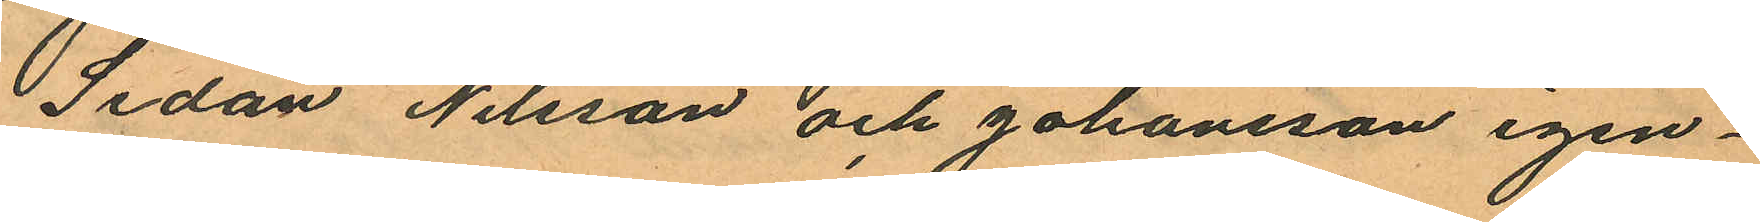Sedan Nilsson och Johansson igen¬
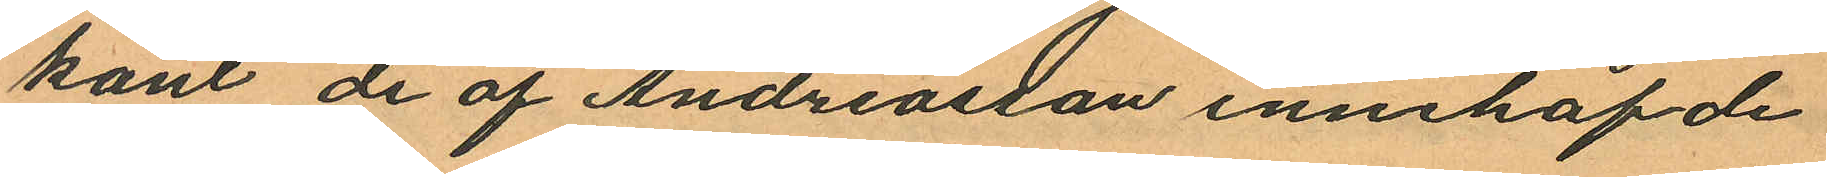känt de af Andreasson innehafde
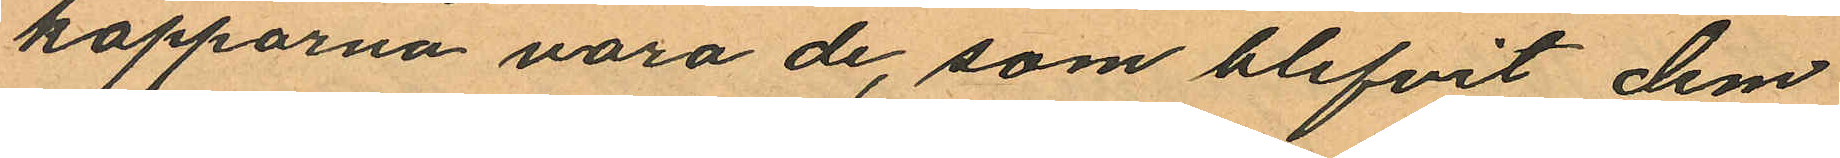kapporna vara de, som blifvit dem
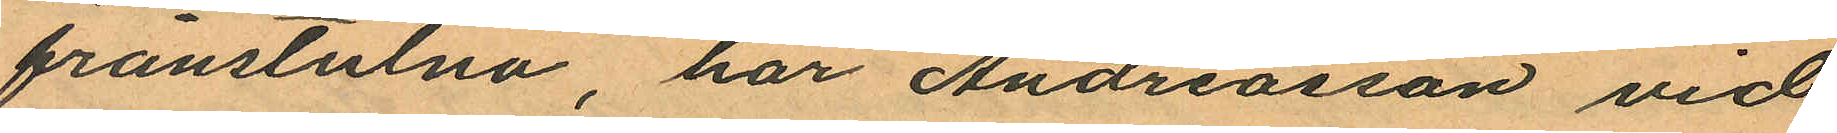frånstulna har Andreasson vid
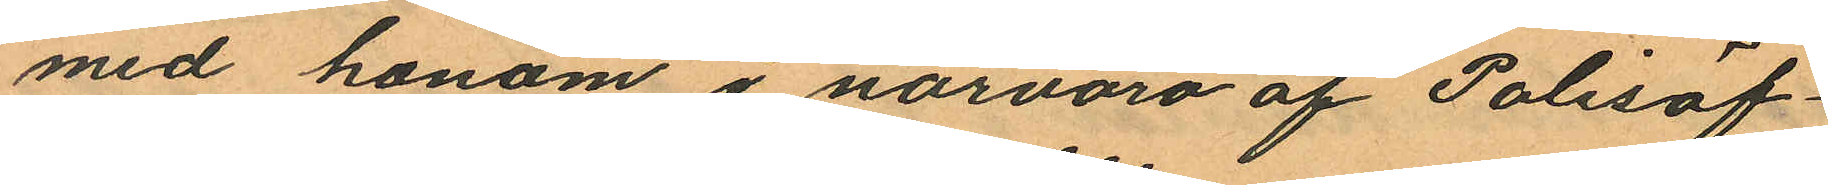med honom i närvaro af Polisöf¬
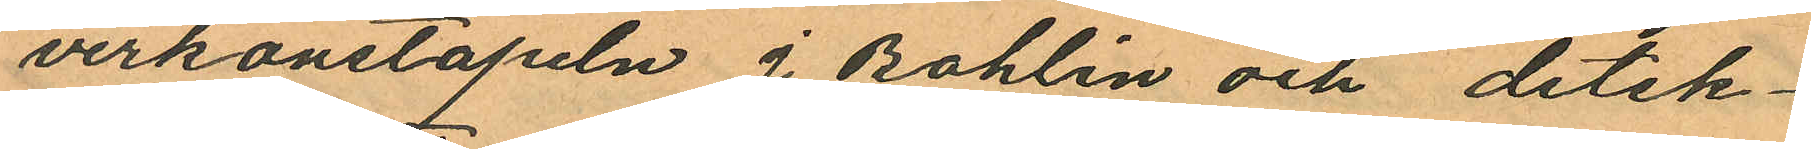verkonstapeln J Bohlin och detek¬
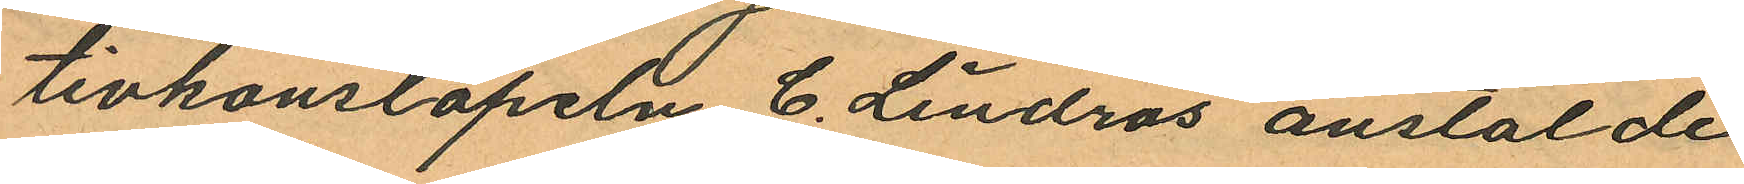tivkonstapeln C. Lindros anstälde
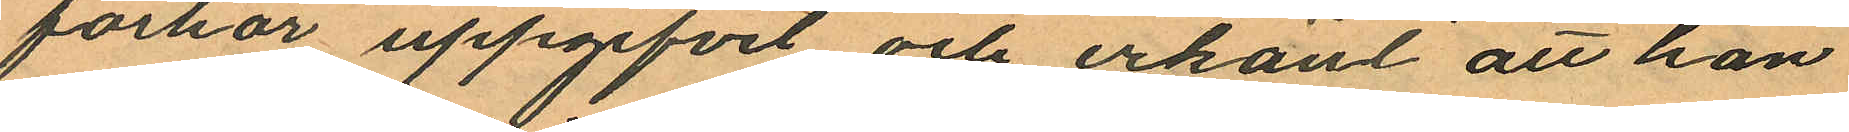förhör uppgifvit och erkänt att han
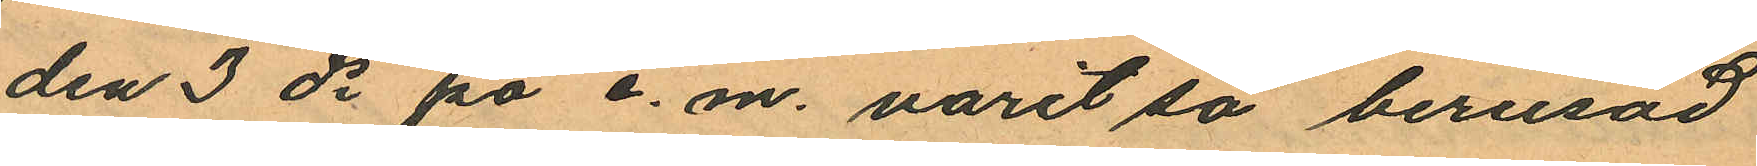den 3 ds på e. m. varit så berusad
